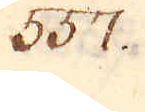357.
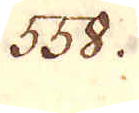558.
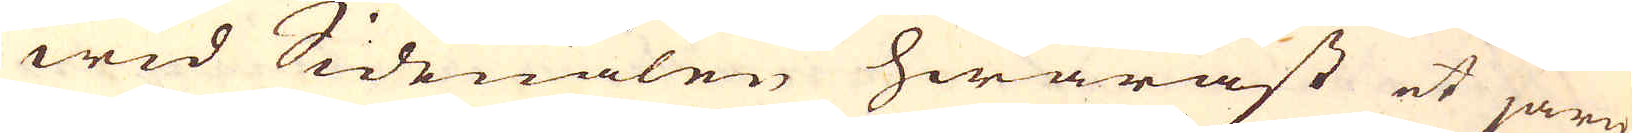wid Sidenålen hwaräst et järn
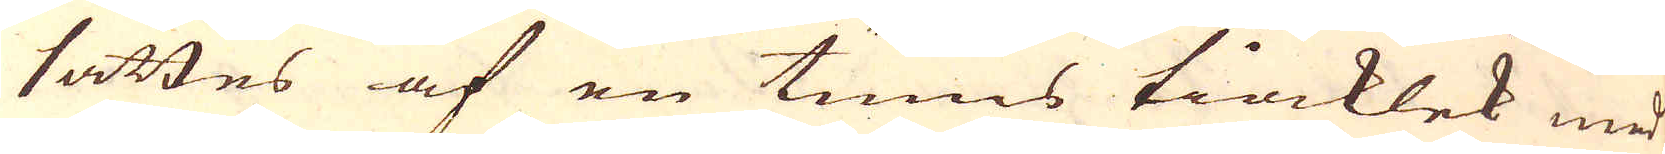sättes af en tums tiocklek med
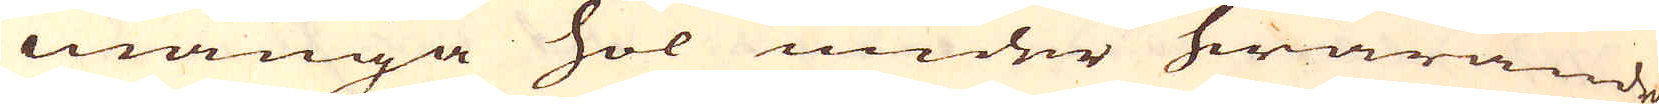många hol under hwarande
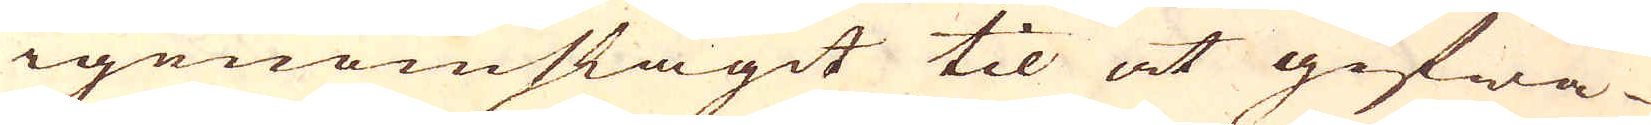igenomslagit til at gifwa
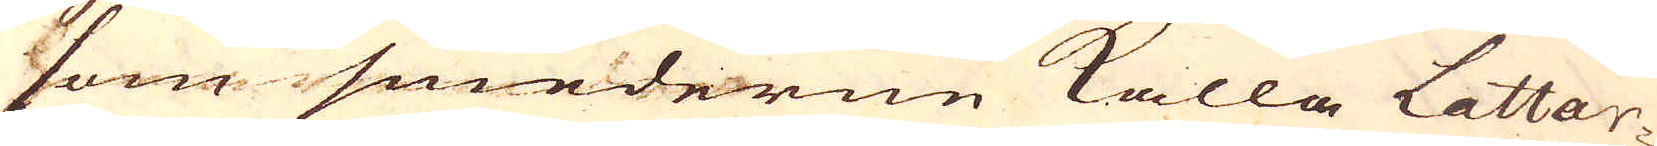som smederne kalla Lattar-
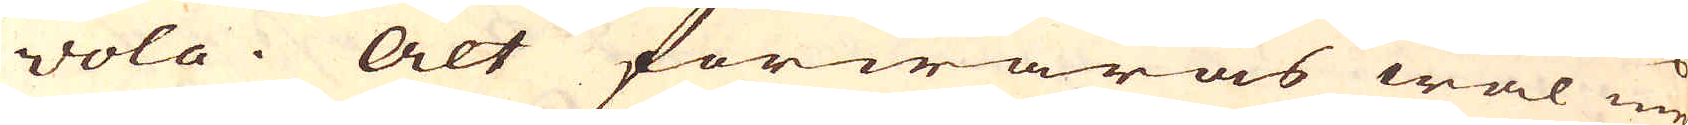vola. Alt förwaras wäl med
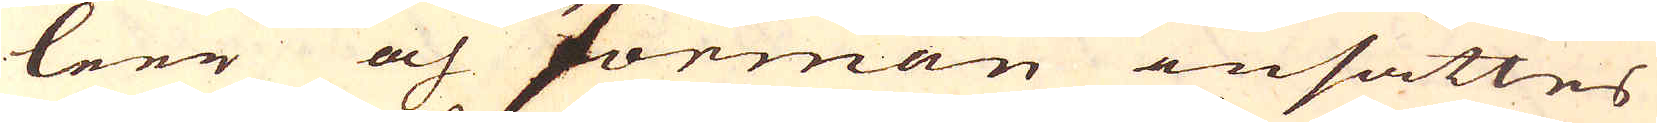leer och forman insättes
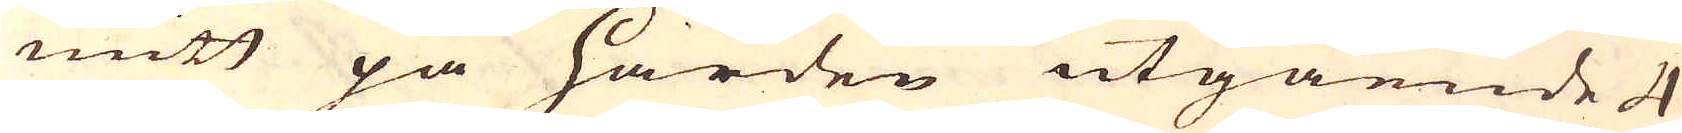mitt på härden utgående 4
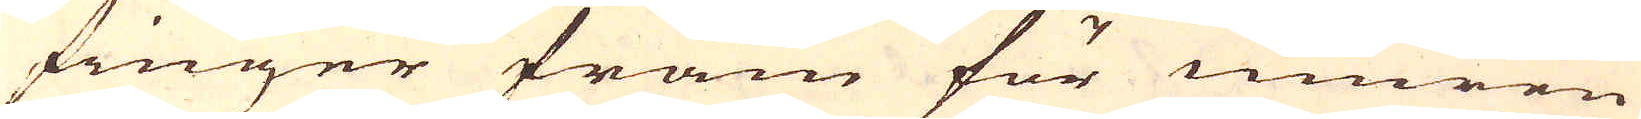finger fram för muren
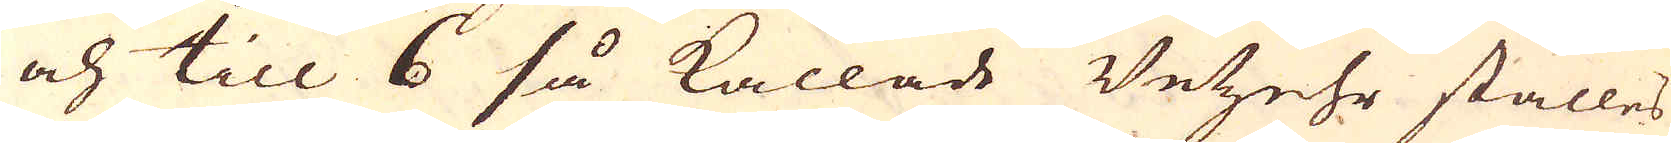och till 6 så kallade Vetzehr ställes
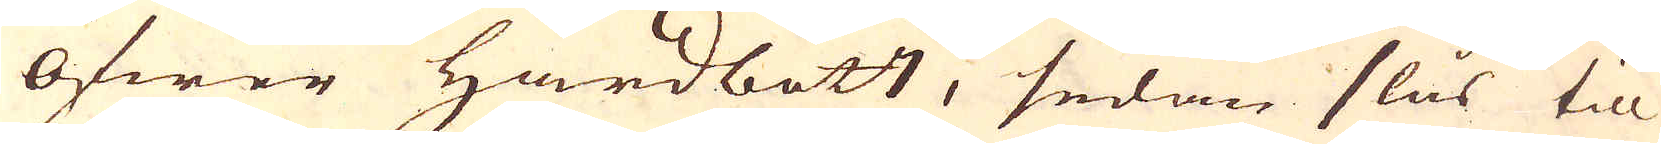öfwer härdbott, sedan slås til
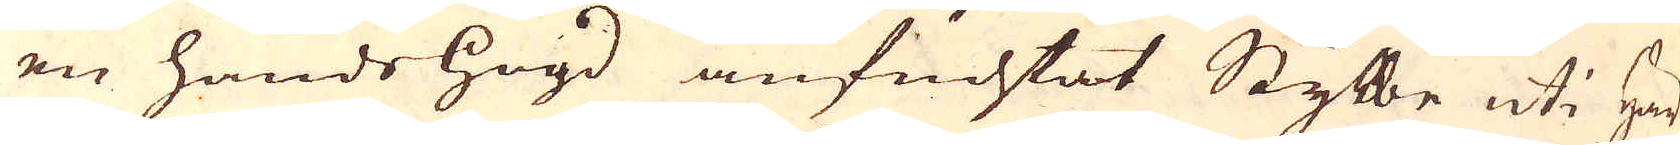en hands högd anfuchtat Stybbe uti Här-
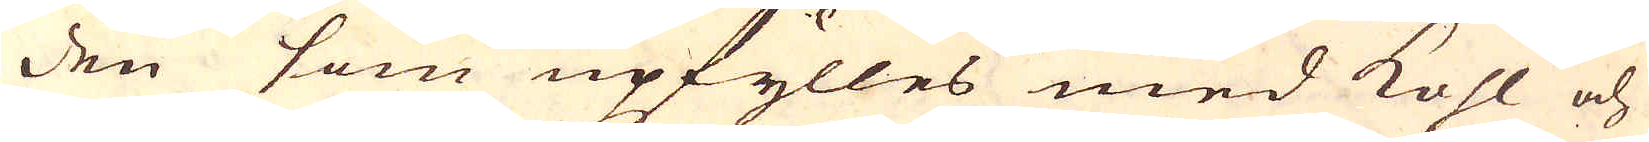den som upfylles med kohl och
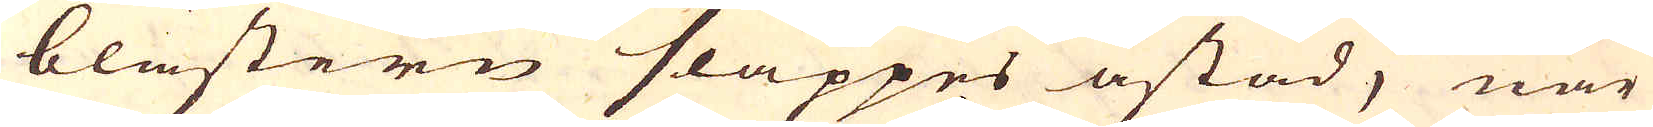blästern släppes åstad, när
